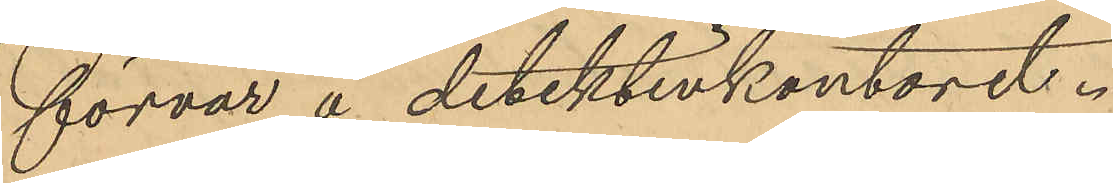förvar å detektivkontoret.
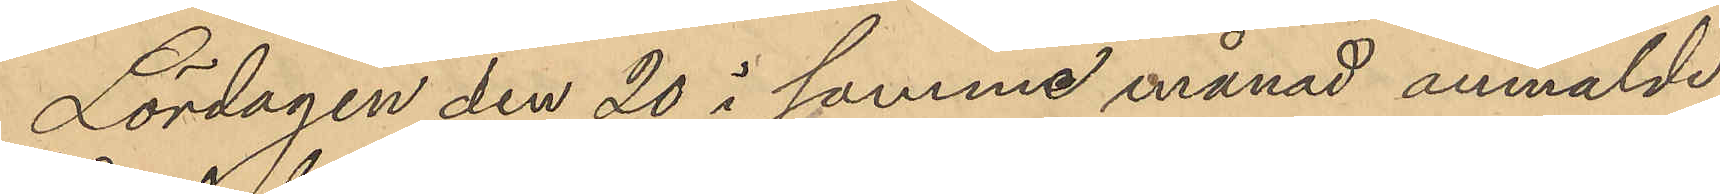Lördagen den 20 i samme månad anmälde
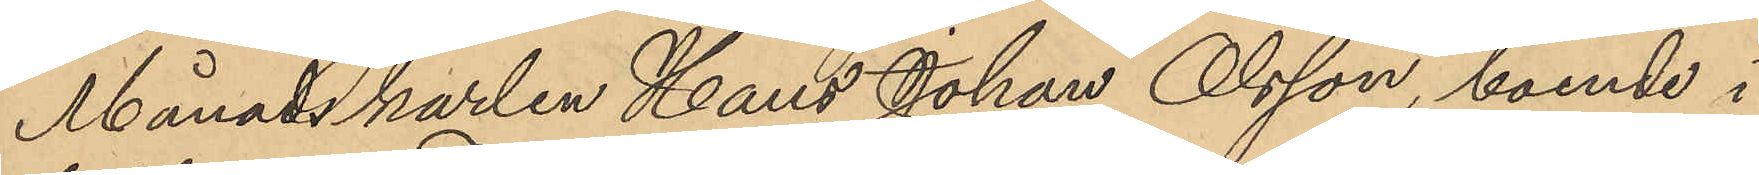Månadskarlen Hans Johan Olsson, boende i
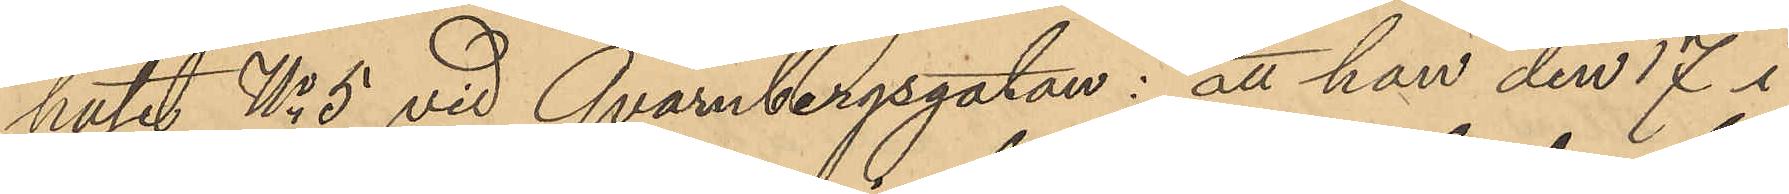huset No 5 vid Qvarnbergsgatan: att han den 17 i
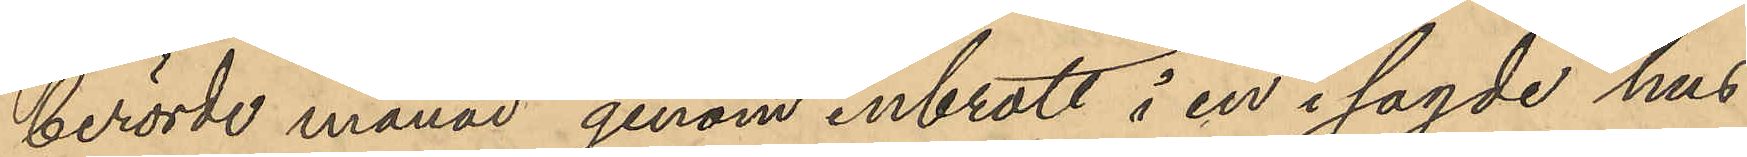berörde månad genom inbrott i en i sagde hus
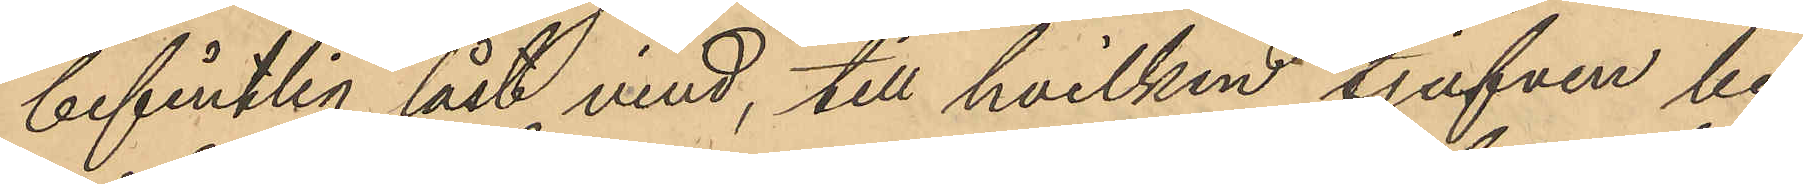befintlig låst vind, till hvilken tjufven be¬
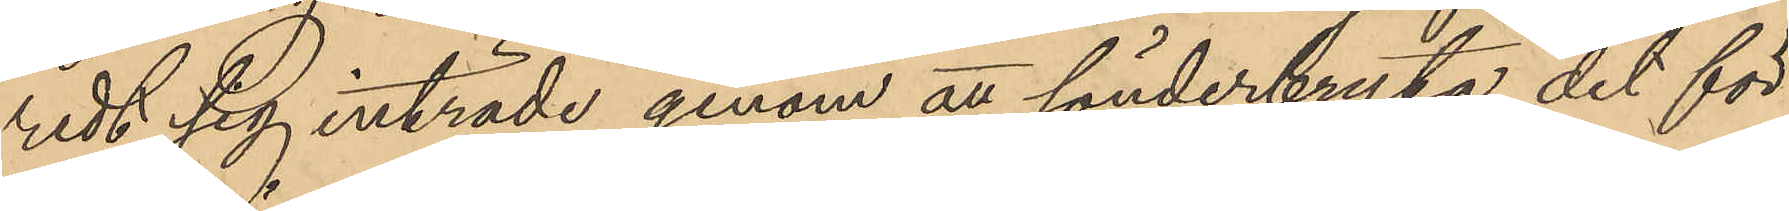redt sig inträde genom att sönderbryta det för
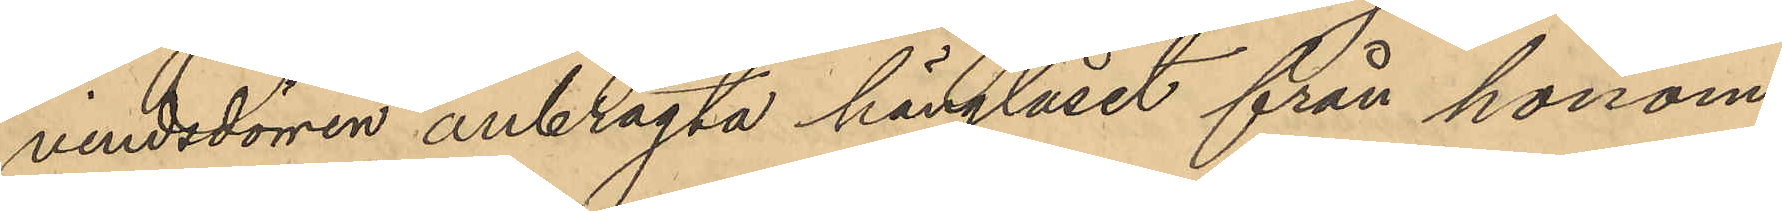vindsdörren anbragta hänglåset från honom
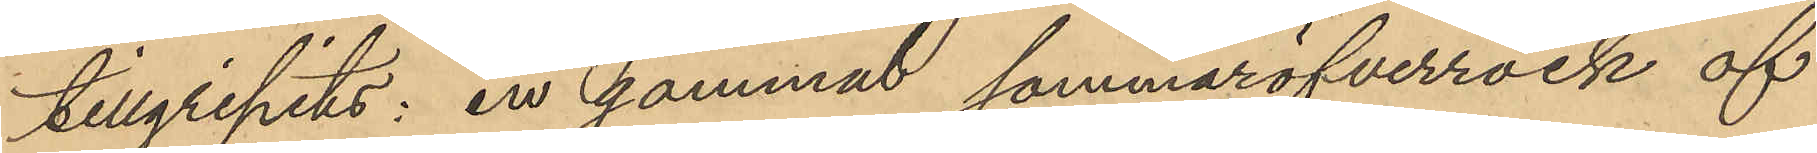tillgripits: en gammal sommaröfverrock af
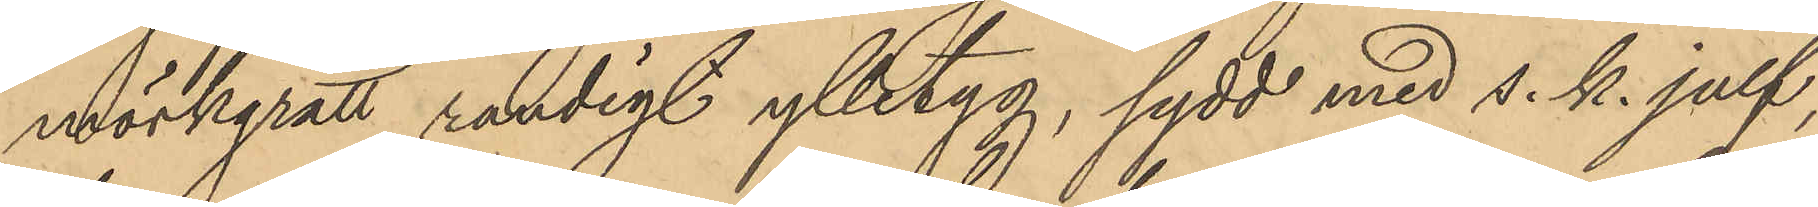mörkgrått randigt ylletyg, sydd med s. k. julf,
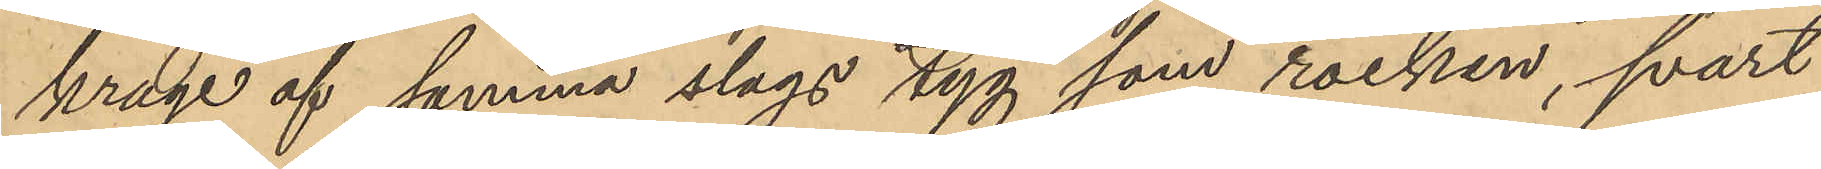krage af samma slags tyg som rocken, svart
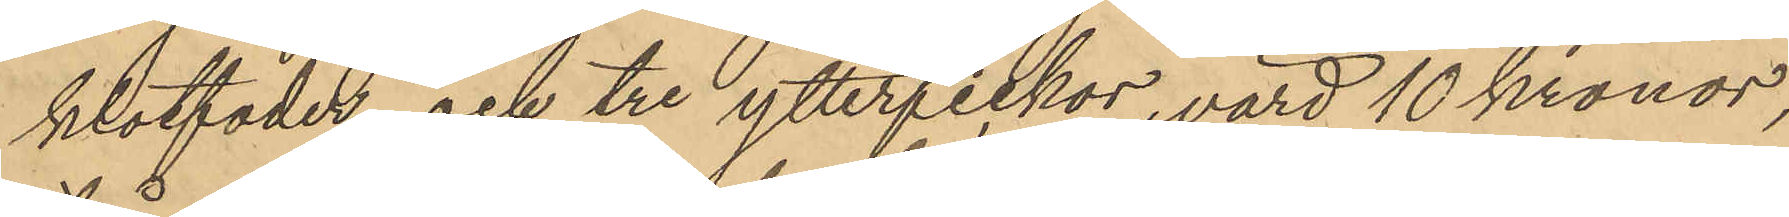klotfoder och tre ytterfickor, värd 10 kronor,
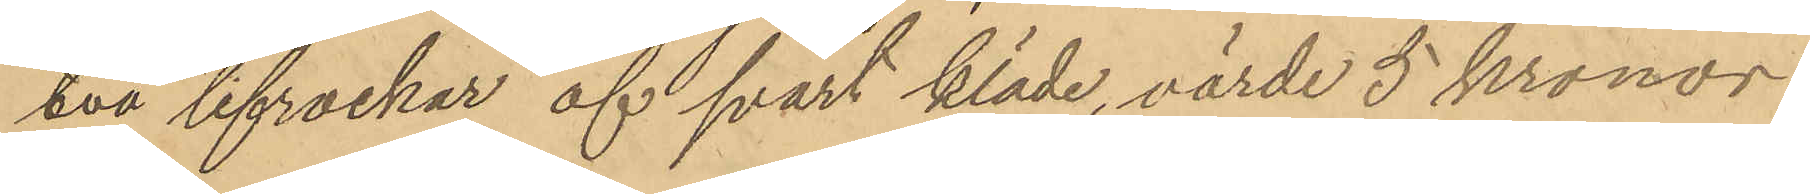två lifrockar af svart kläde, värde 5 kronor
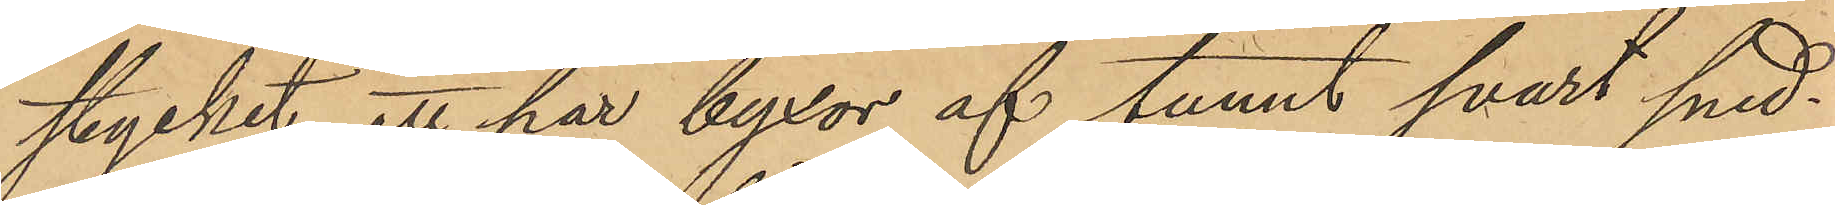stycket, ett par byxor af tunt svart sned¬
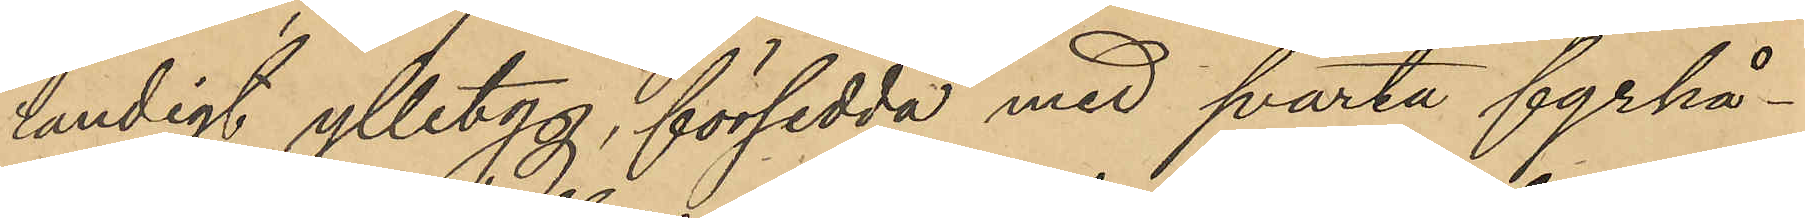randigt ylletyg, försedda med svarta fyrhå¬
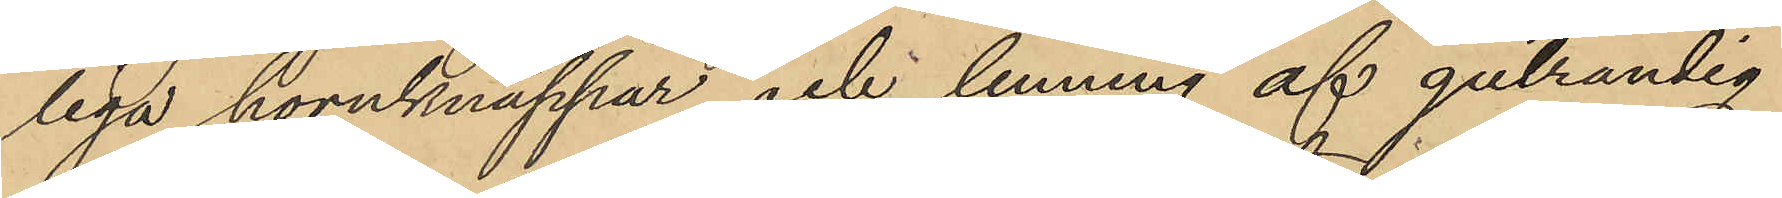liga hornknappar och lenning af gulrandig
